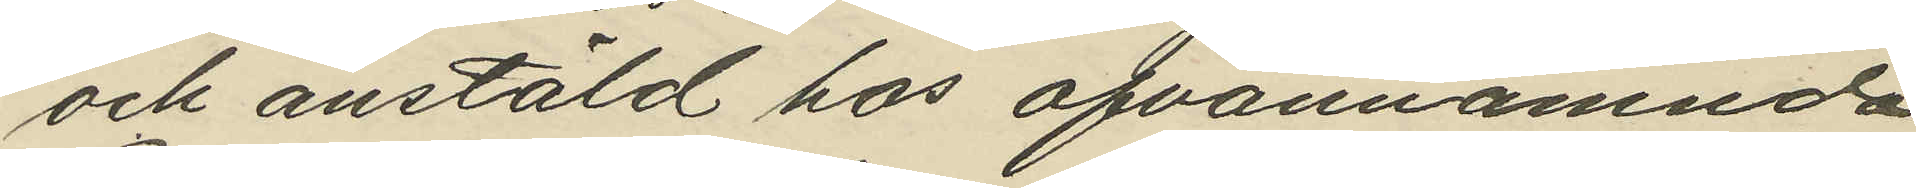och anstäld hos ofvannämnda
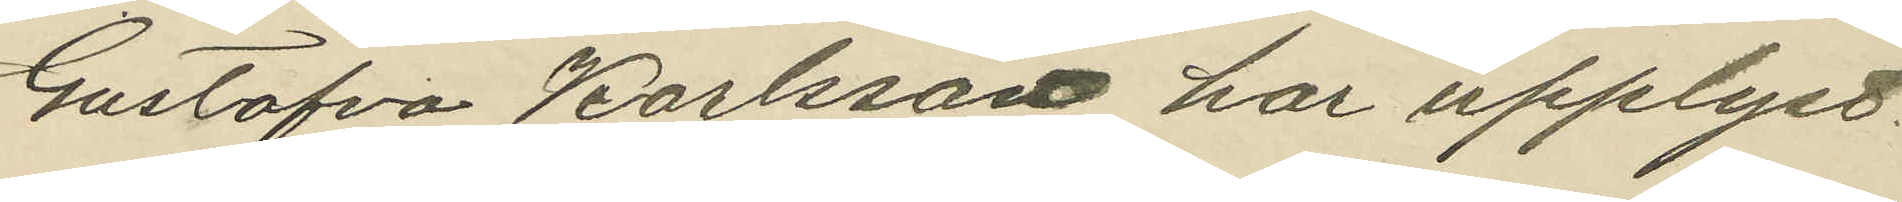Gustafva Karlsson har upplyst,
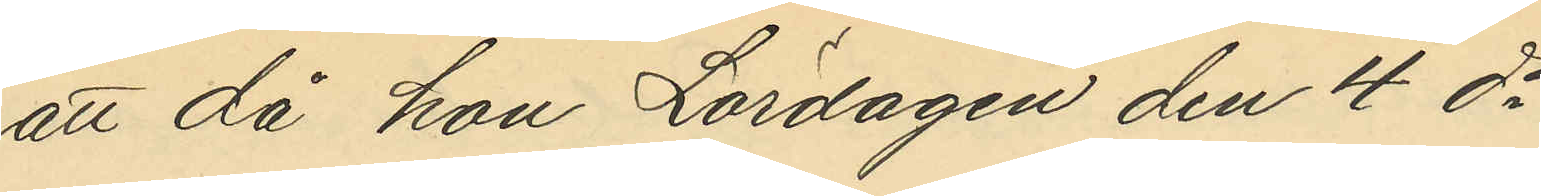att då hon Lördagen den 4 ds
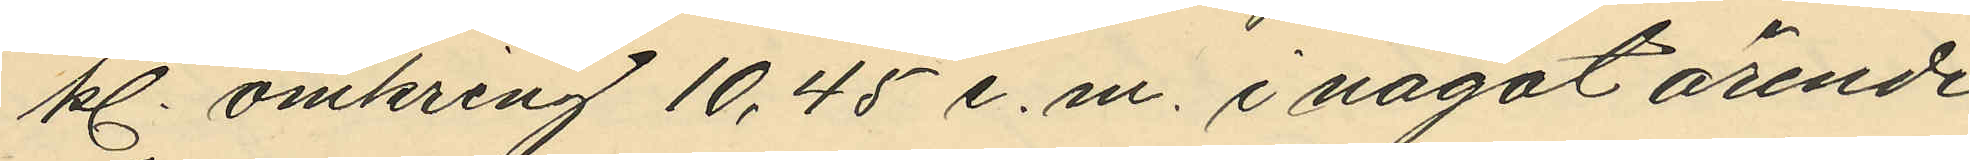kl. omkring 10,45 e.m. i något ärende
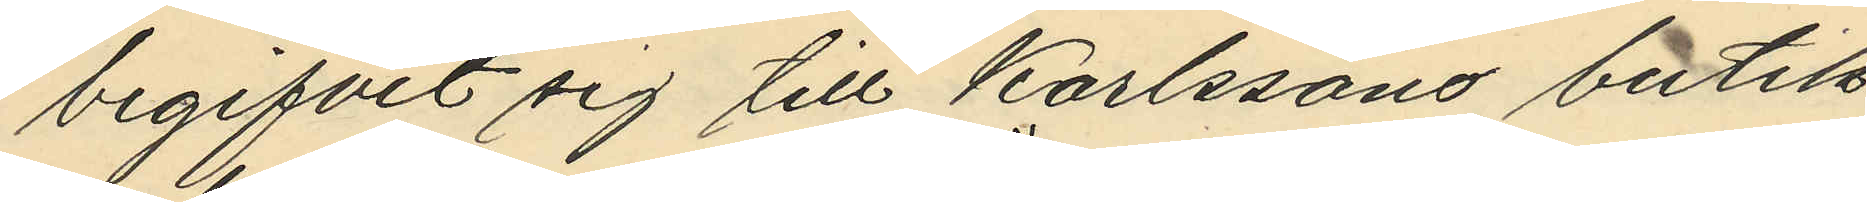begifvit sig till Karlssons butik
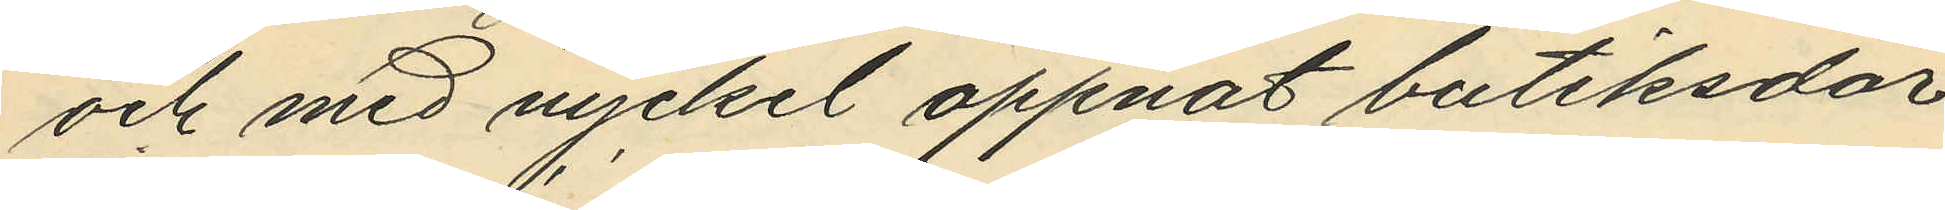och med nyckel öppnat butiksdör¬
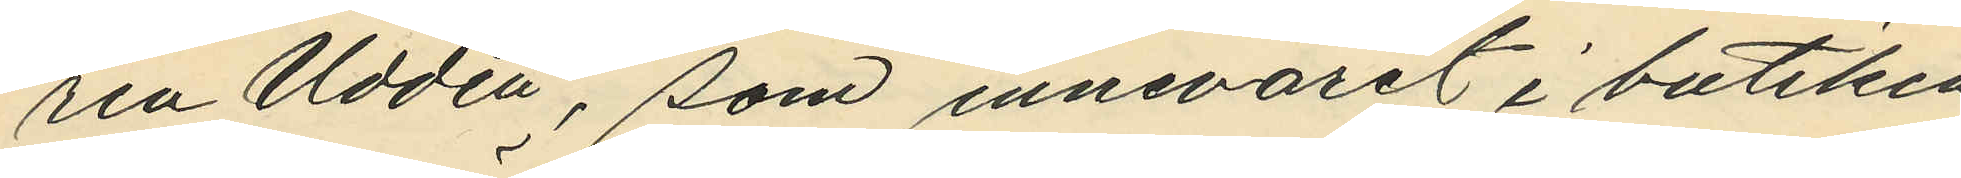ren Uddén, som innevarit i butiken
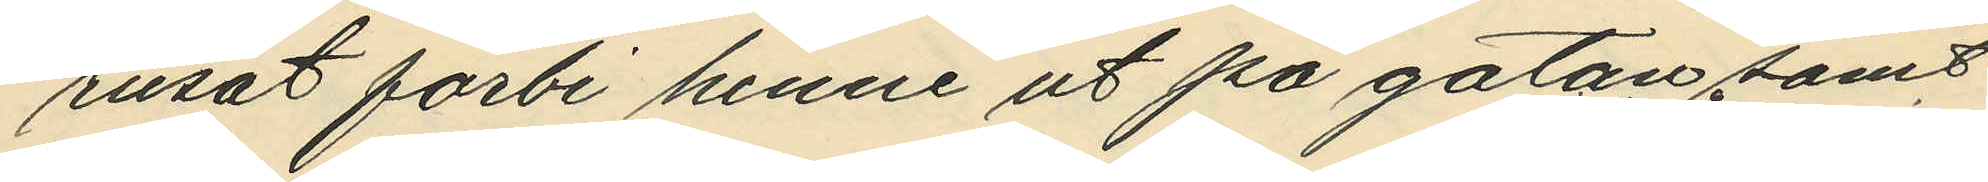rusat förbi henne ut på gatan samt
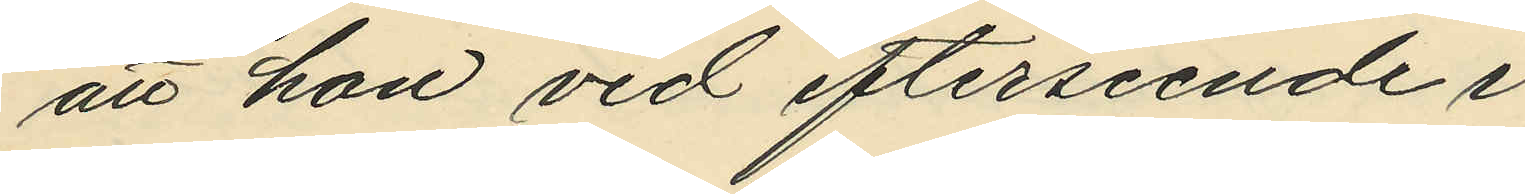att hon vid efterseende i
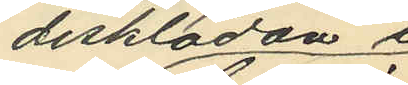disklådan i
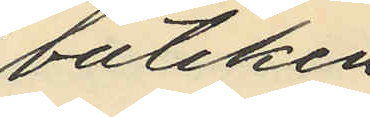butiken
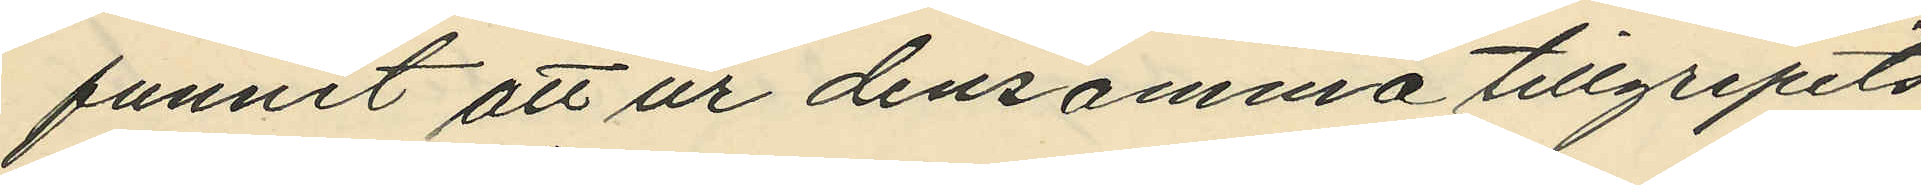funnit att ur densamma tillgripits
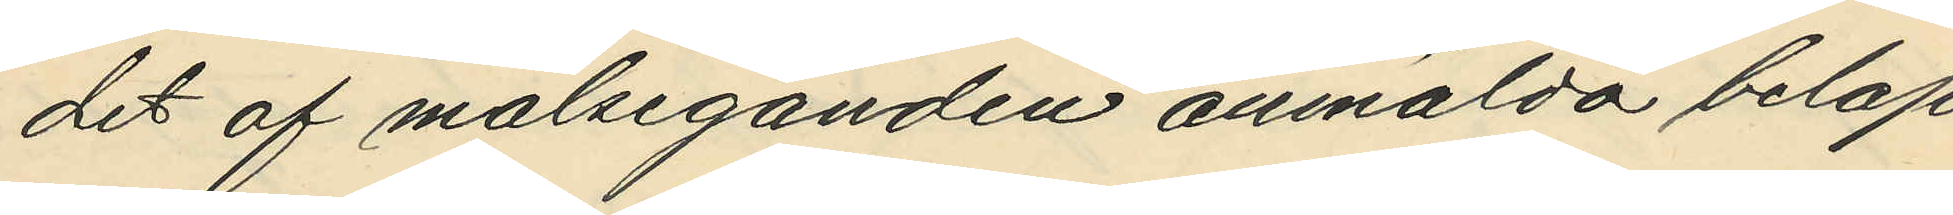det af målseganden anmälda belop¬
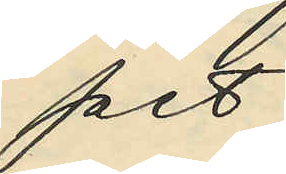pet.
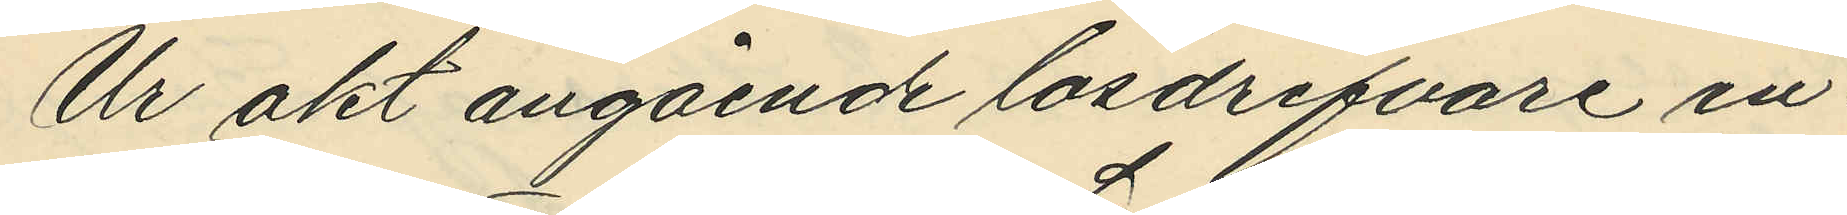Ur akt angående lösdrifvare in¬
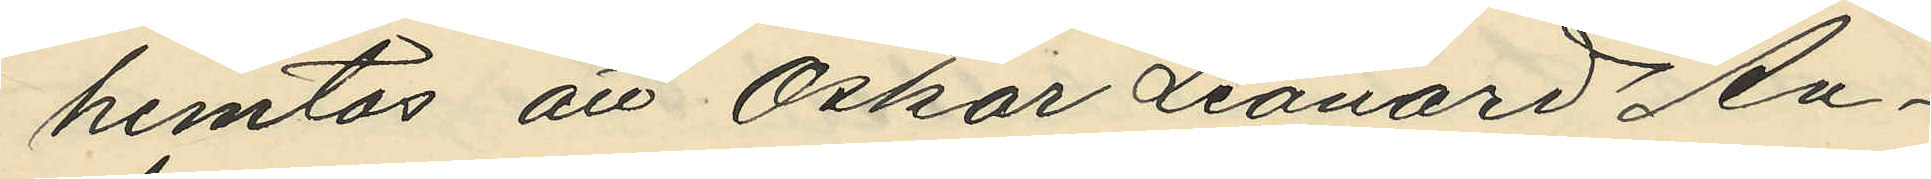hemtas att Oskar Leonard An¬
